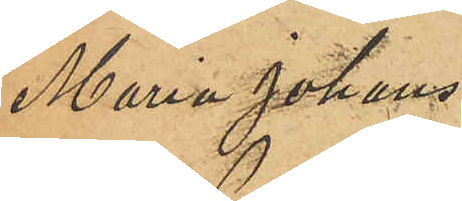Maria Johans¬
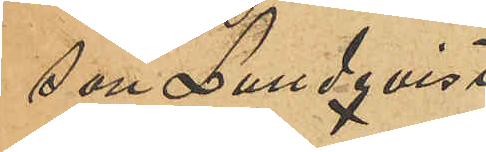son Lundqvist
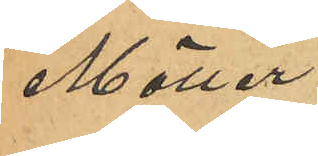Möller.
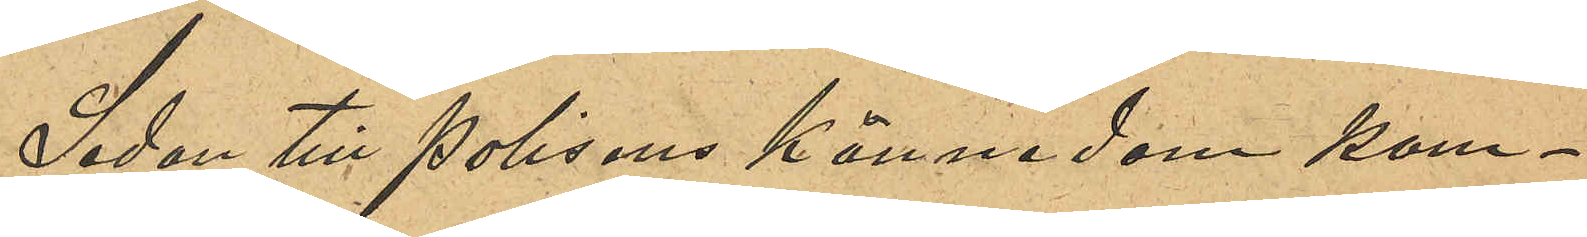Sedan till Polisens kännedom kom¬
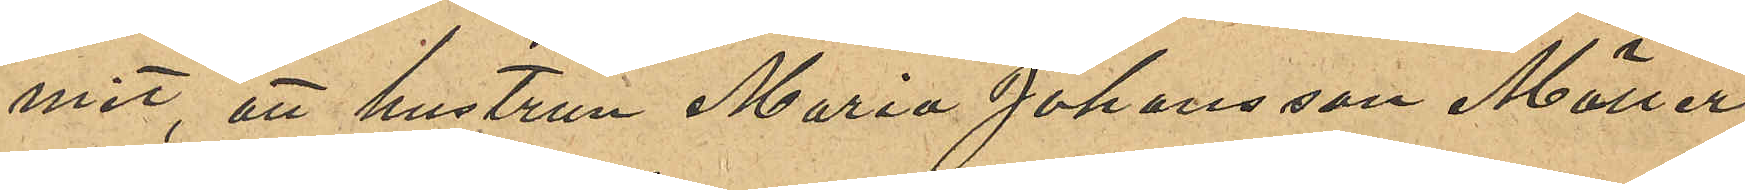mit, att hustrun Maria Johansson Möller,
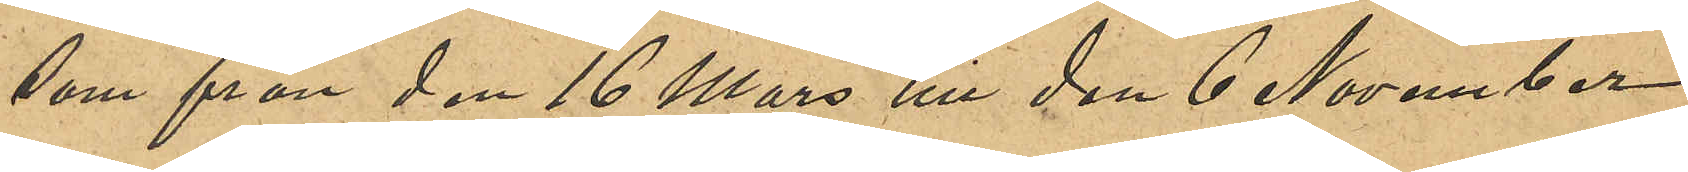som från den 16 Mars till den 6 November
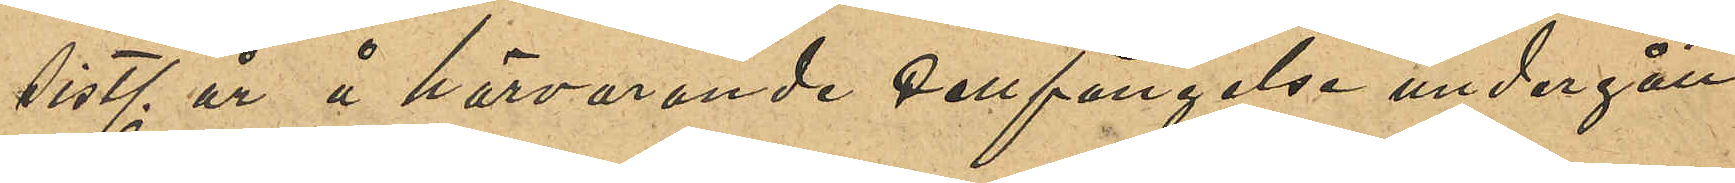sist. år å härvarande Cellfängelse undergått
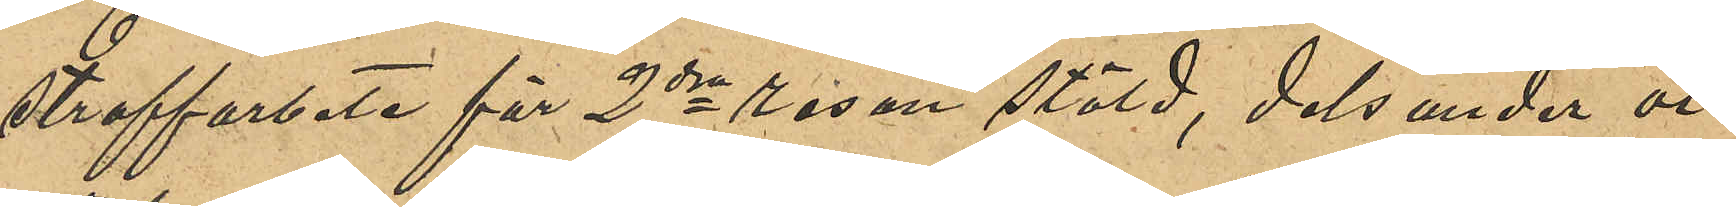straffarbete för 2dra resan stöld, dels under vi¬
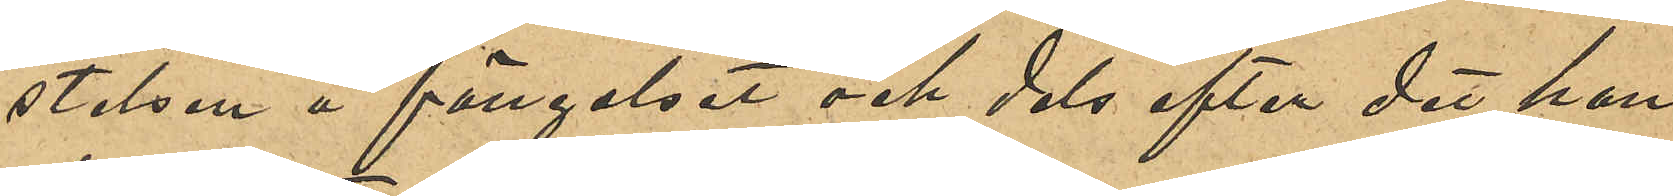stelsen å fängelset och dels efter det hon
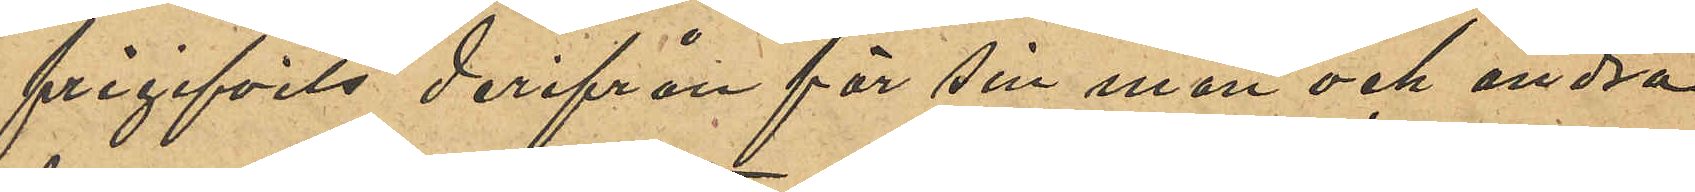frigifvits derifrån för sin man och andra
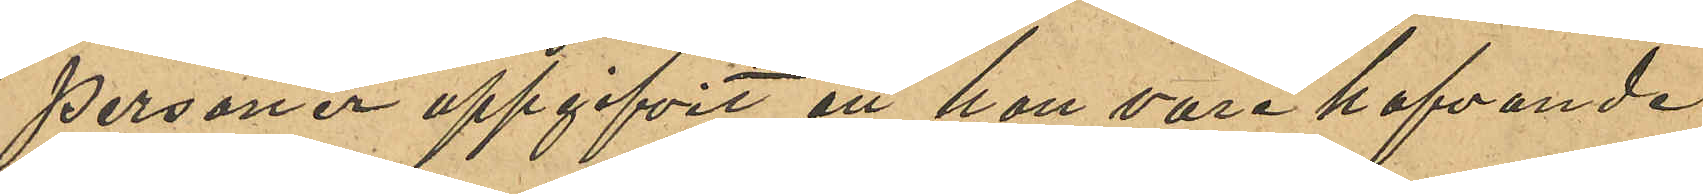personer uppgifvit att hon vore hafvande,
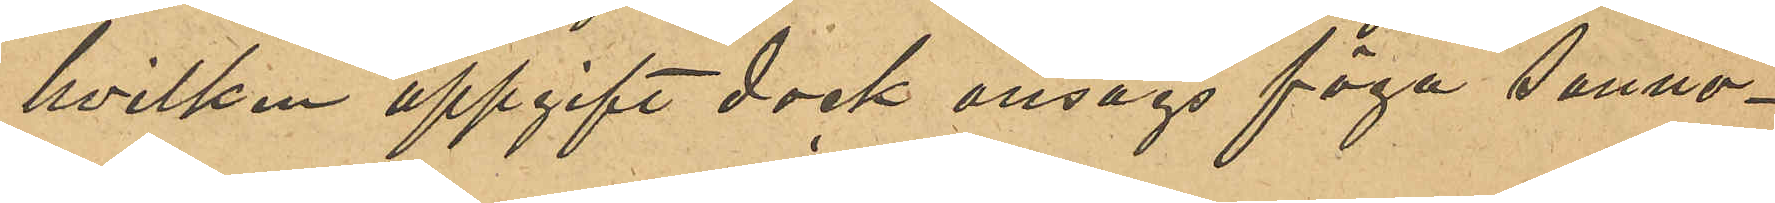hvilken uppgift dock ansågs föga sanno¬
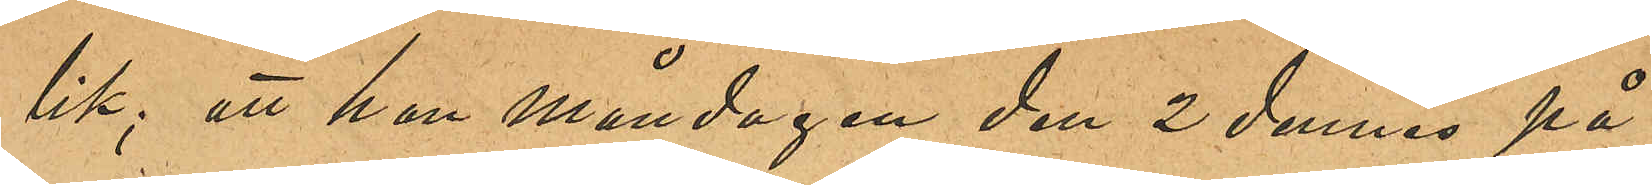lik; att hon måndagen den 2 dennes på
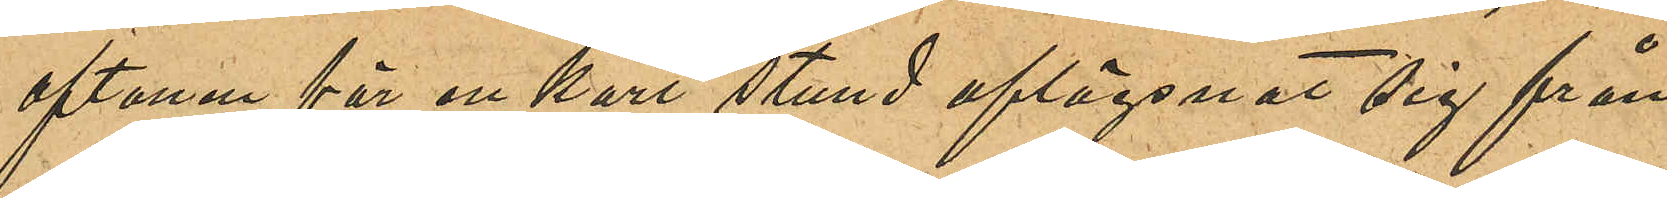aftonen för en kort stund aflägsnat sig från
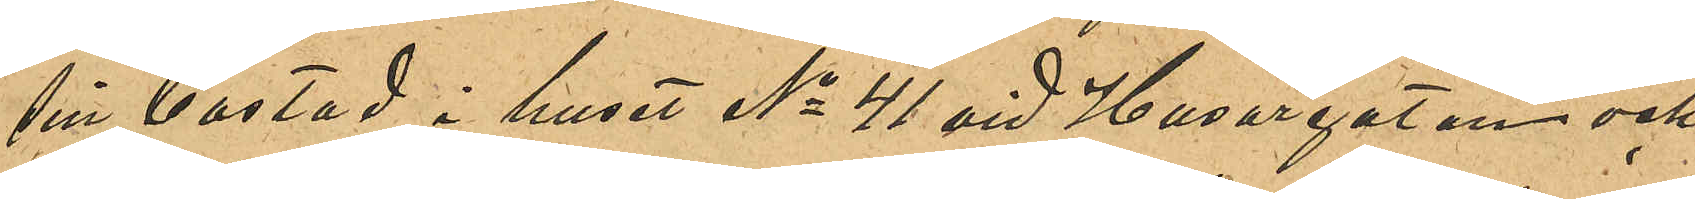sin bostad i huset No 41 vid Husargatan och
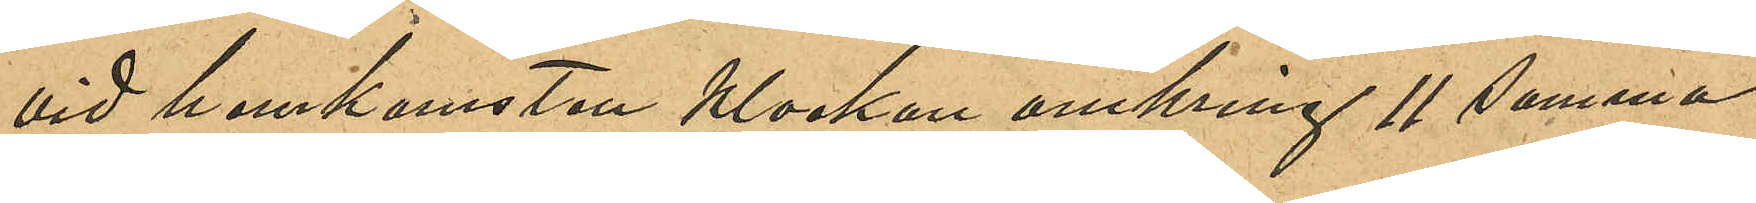vid hemkomsten klockan omkring 11 samma
